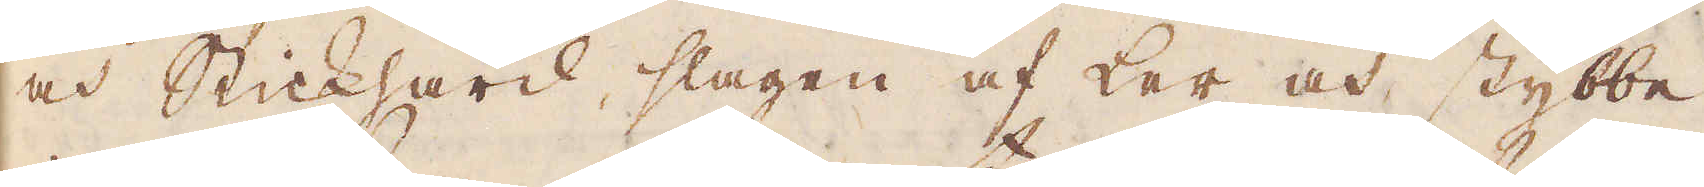och Stickhärd, slaggen af Ler och stybbe
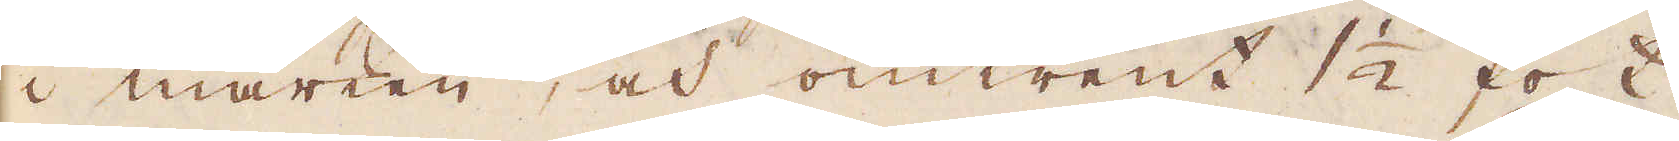i marken, och omtrent 1 1/2 fot
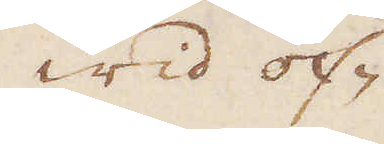Wid of-
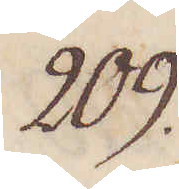209.
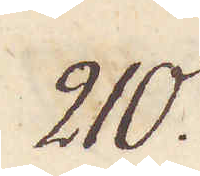210.
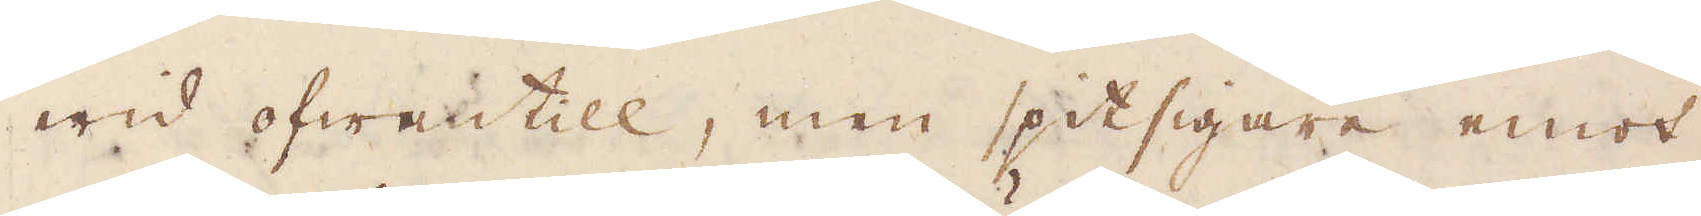wid ofwantill, men spitsigare emot
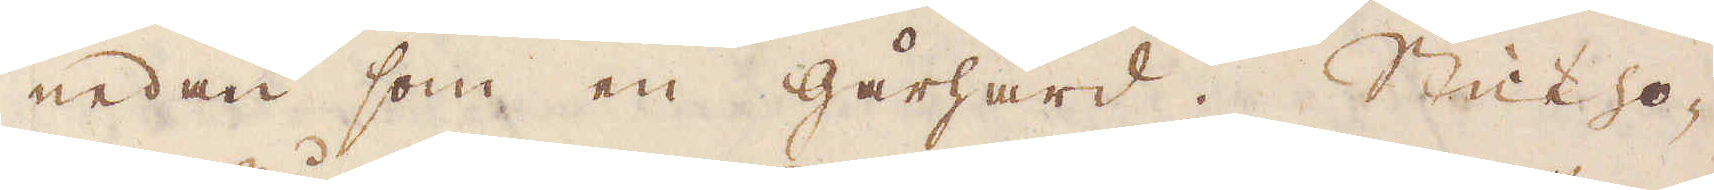nedan som en gårhård. Stickho-
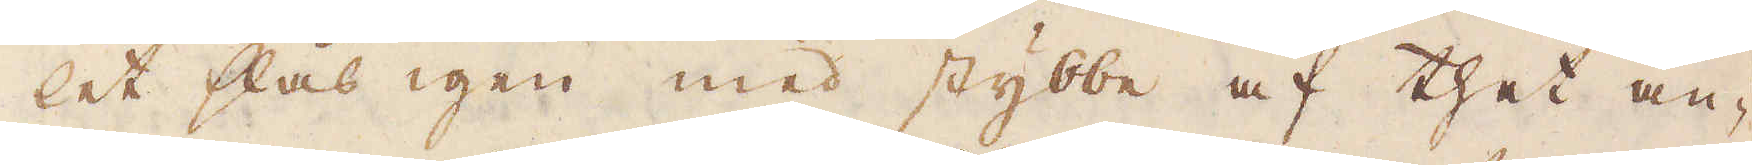let slås igen med stybbe af thet an-
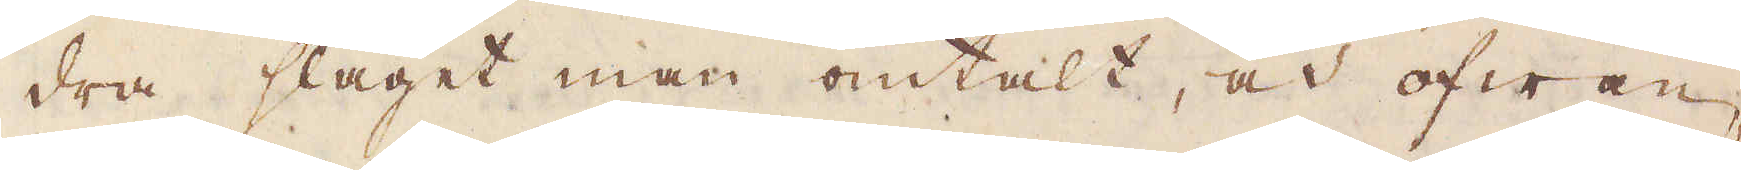dra slaget man omtalt, och ofwan-
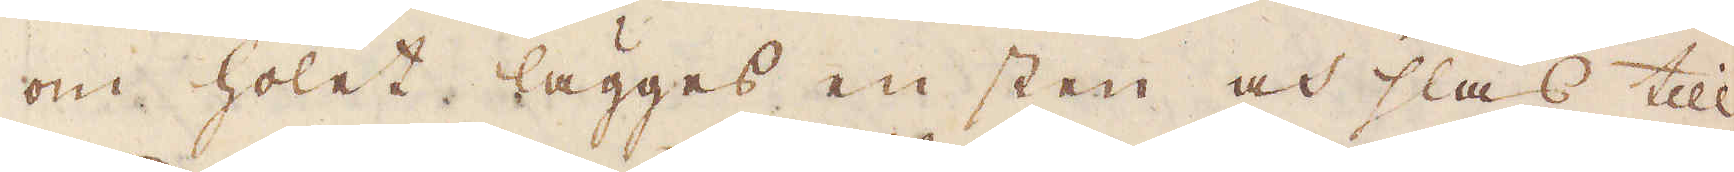om holet lägges en sten och slås till
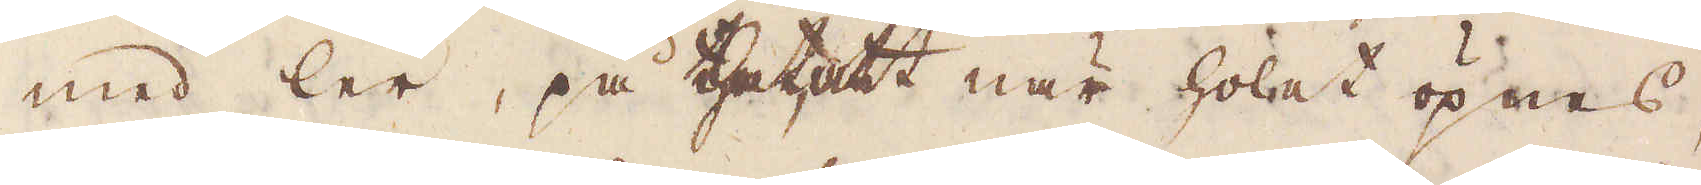med ler, på thet att när holet öpnas,
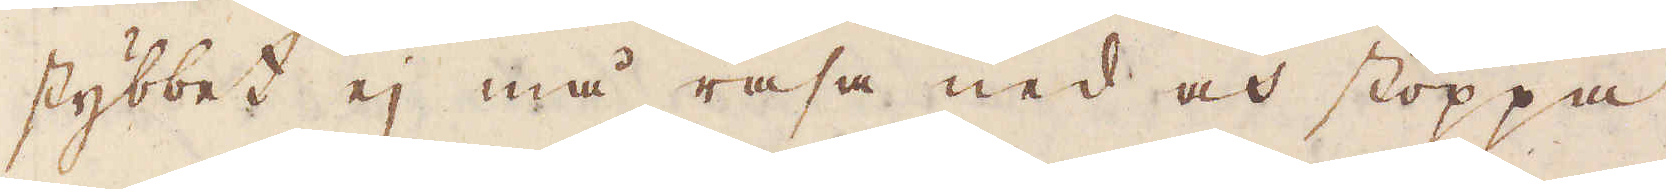stybbet ej må rasa ned och stoppa
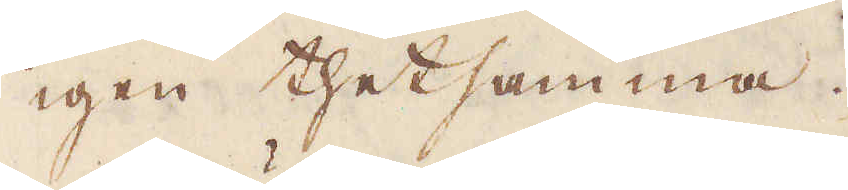igen thetsamma.
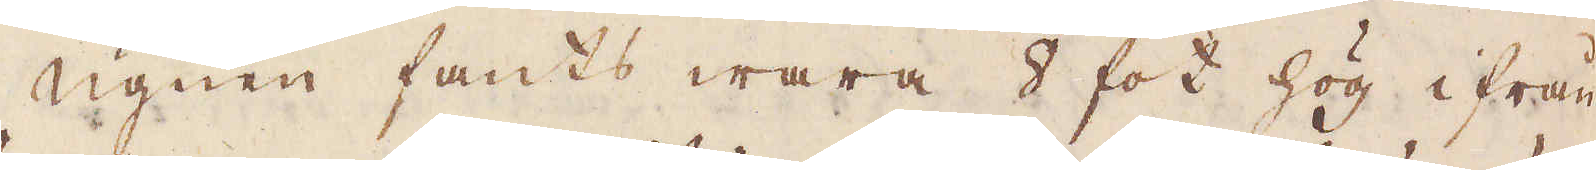Ugnen fants wara 8 fot hög ifrån
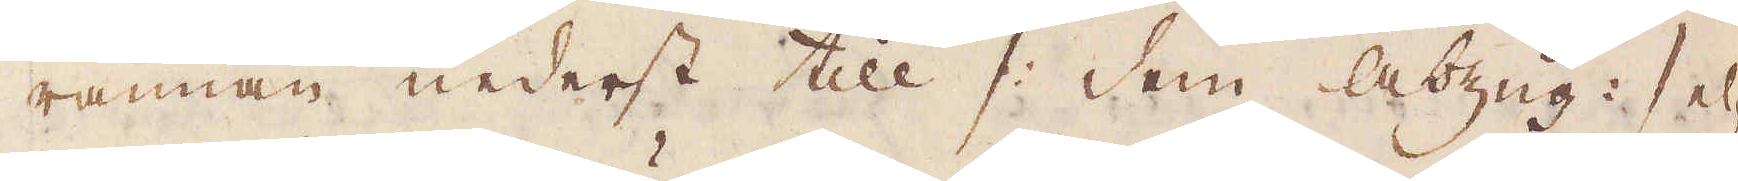rännan nederst till /: dem Abzug :/ el-
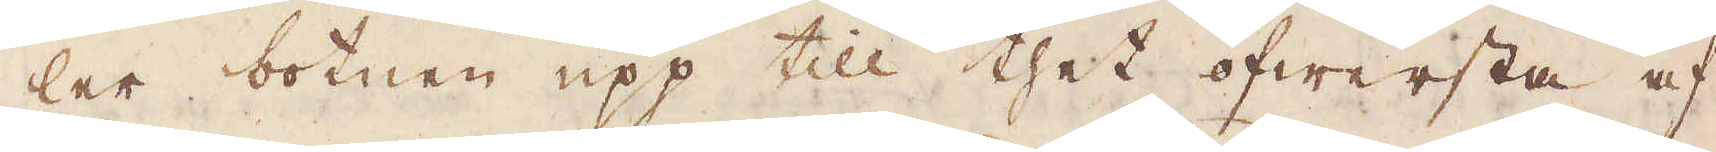ler botnen upp till thet öfwersta af
